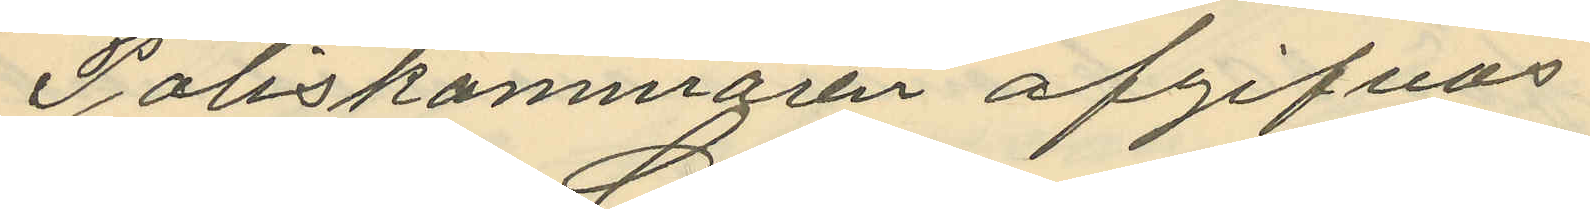Poliskammaren afgifvas
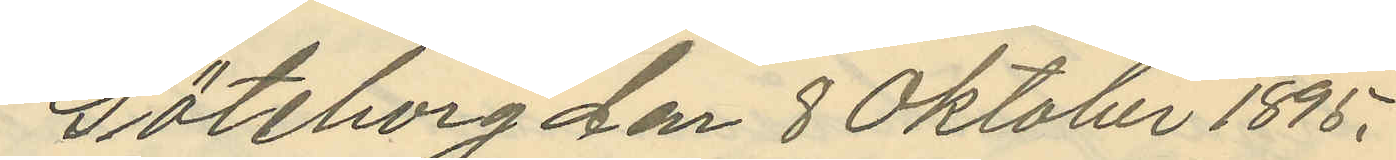Göteborg den 8 Oktober 1895.
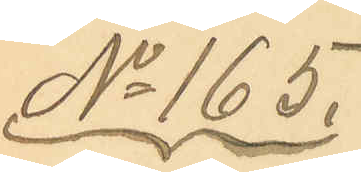No 165.
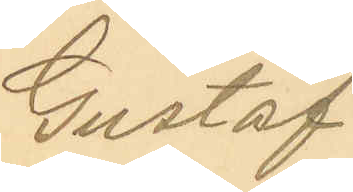Gustaf
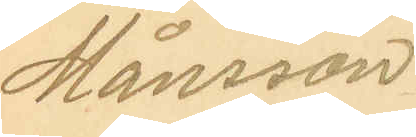Månsson
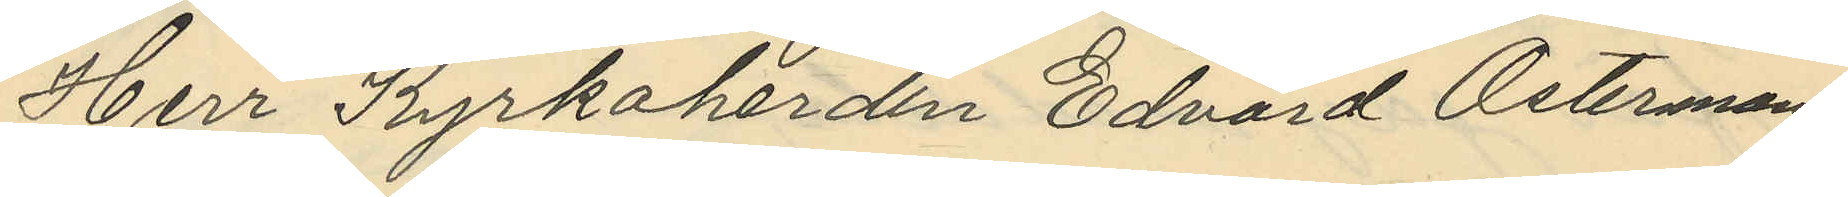Herr Kyrkoherden Edvard Österman
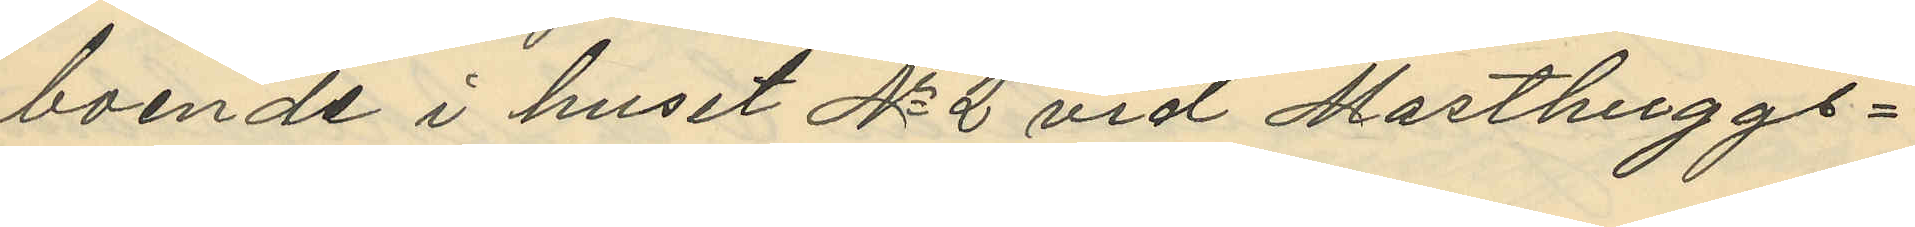boende i huset No 2 vid Masthuggs¬
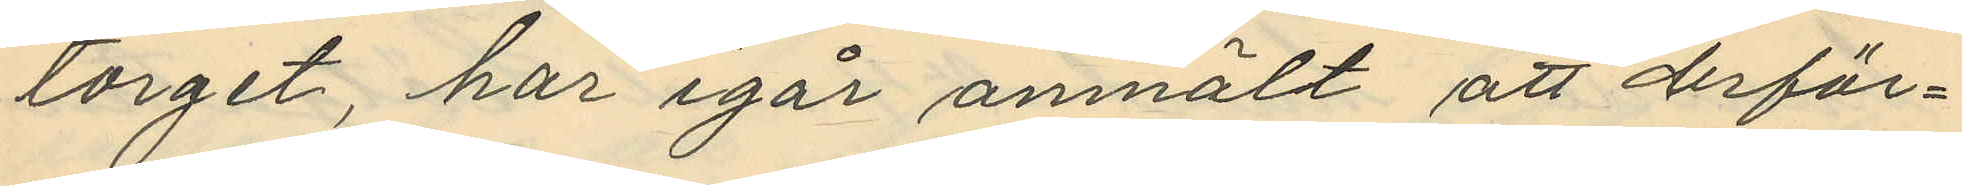torget, har igår anmält att derför¬
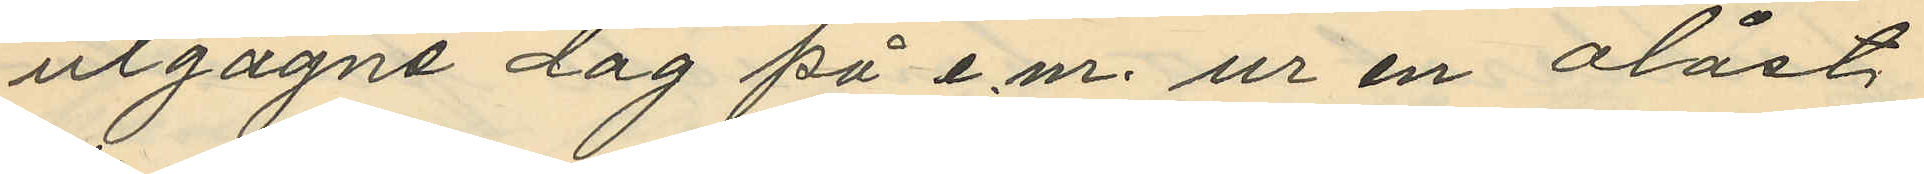utgagne dag på e.m. ur en olåst
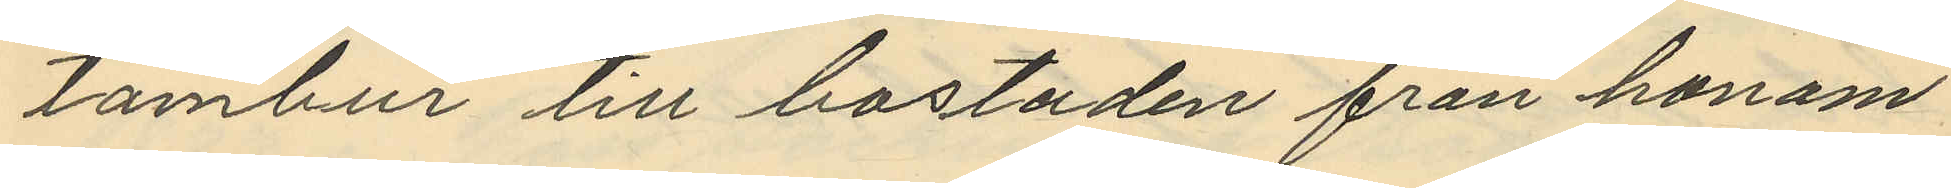tambur till bostaden från honom
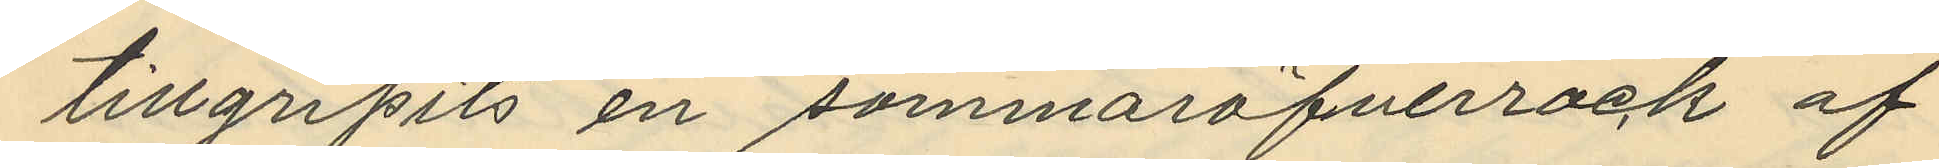tillgripits en sommaröfverrock af
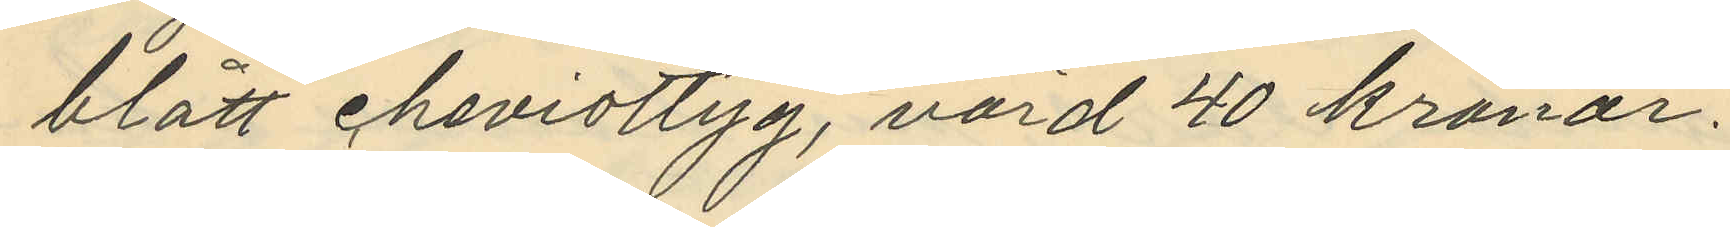blått cheviottyg, värd 40 kronor.
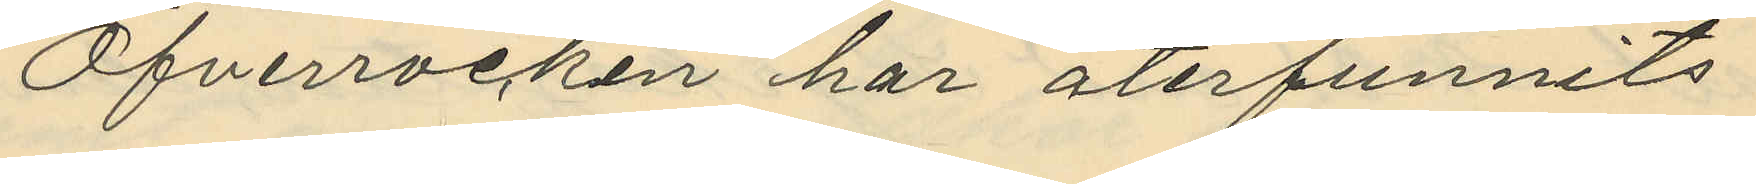Öfverrocken har återfunnits
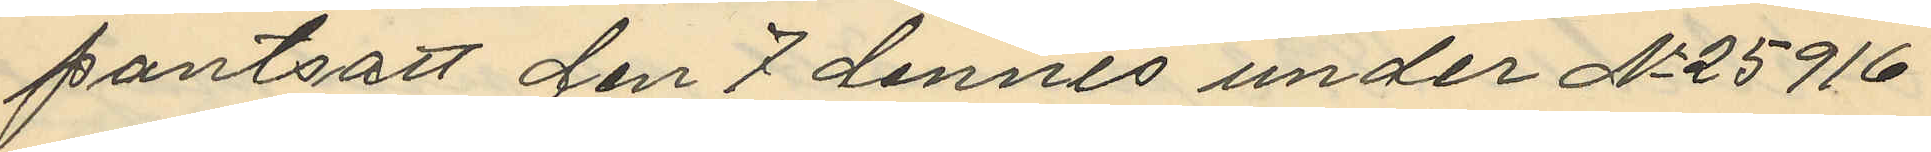pantsatt den 7 dennes under No 25916
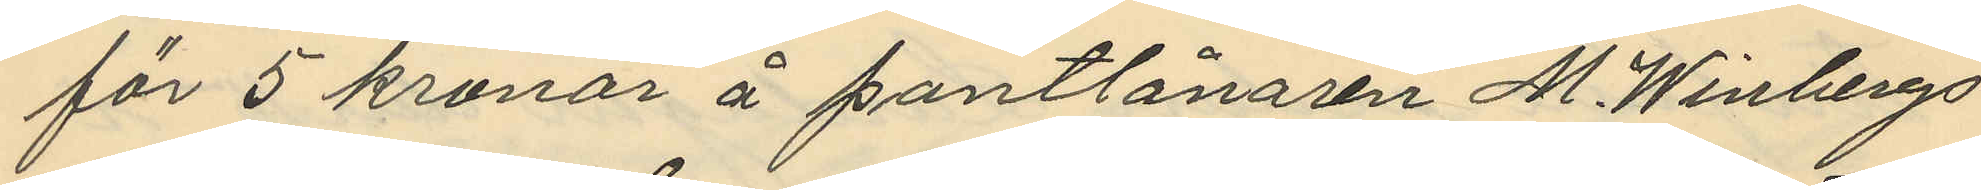för 5 kronor å pantlånaren M. Winbergs
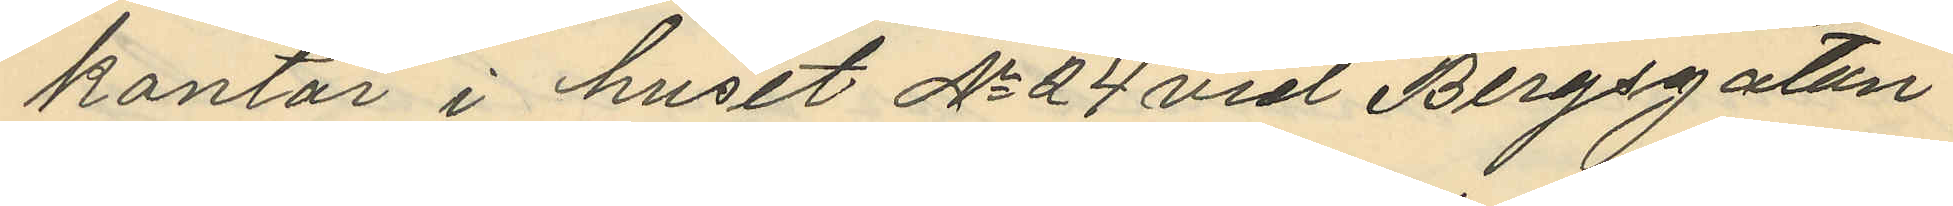kontor i huset No 24 vid Bergsgatan
